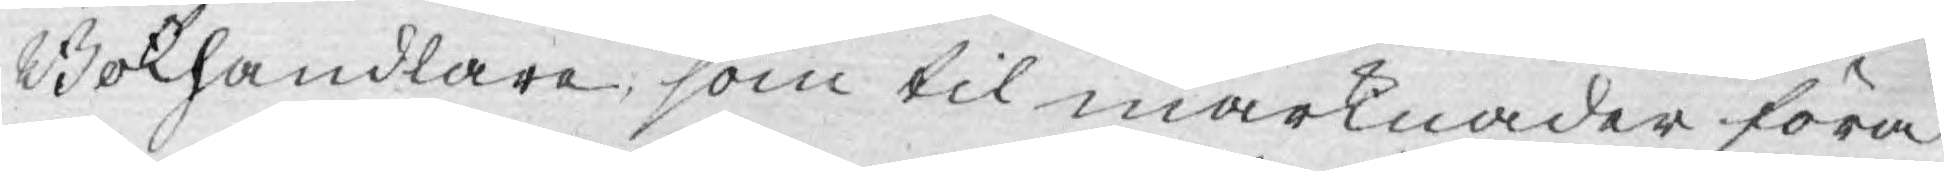Bokhandlare, som til marknader föra
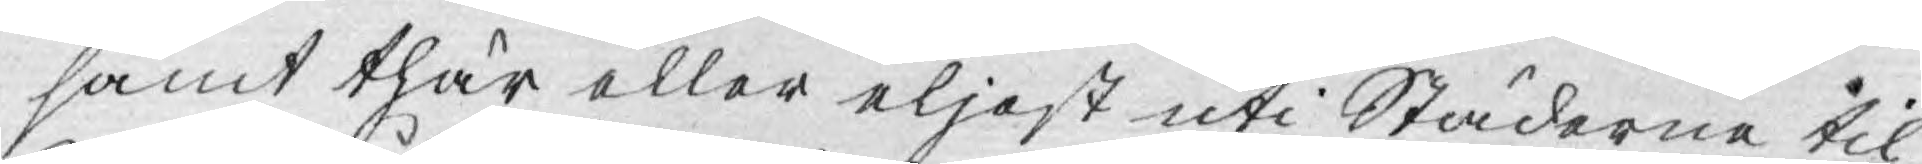samt thär eller eljest uti Städerne til
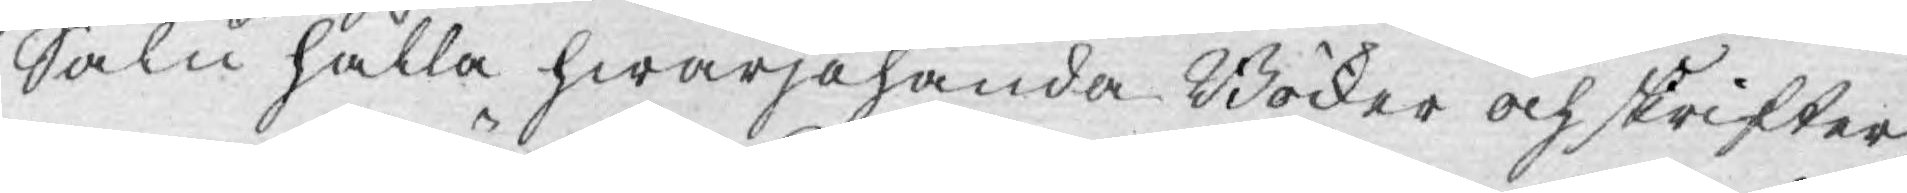Salu hålla hwarjehanda Böcker och skrifter,
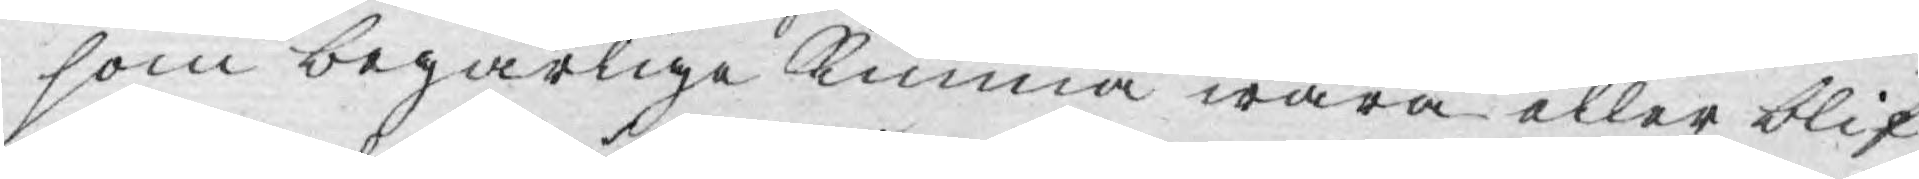som begärlige kunna wara eller blif¬
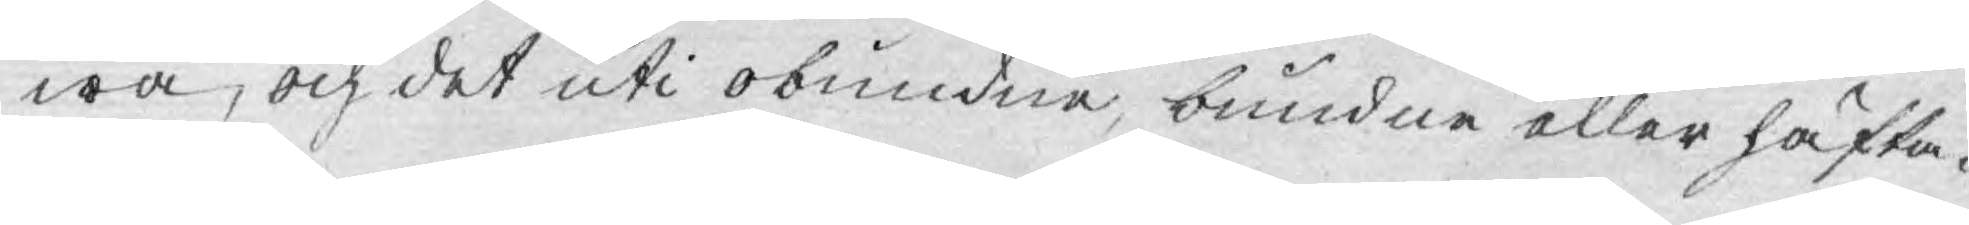wa, och det uti obundne, bundne eller häfta¬
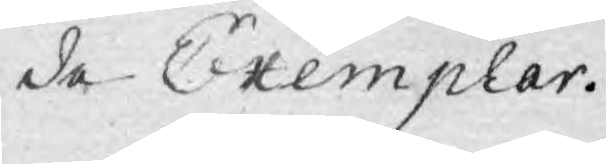de Exemplar.
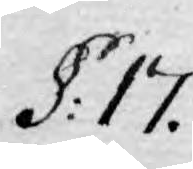§: 17.
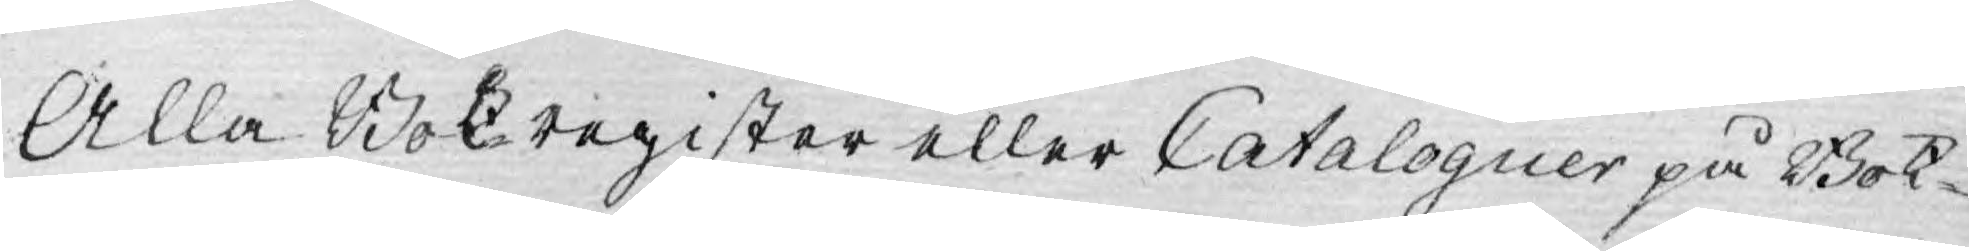Alla Bokregister eller Cataloguer på Bok¬
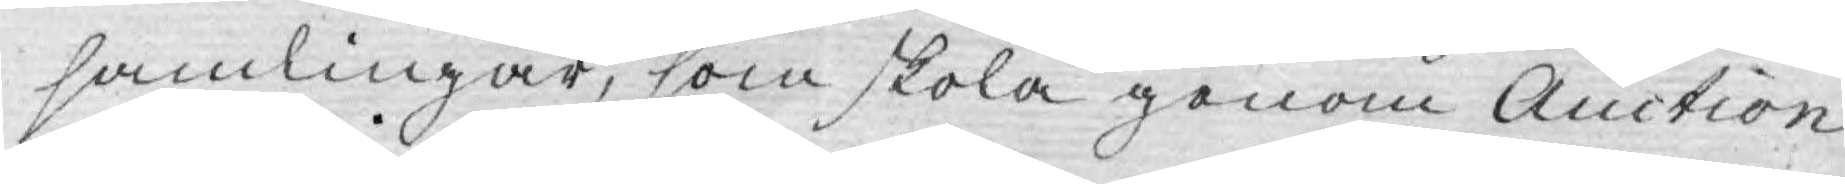samlingar, som skola genom Auction
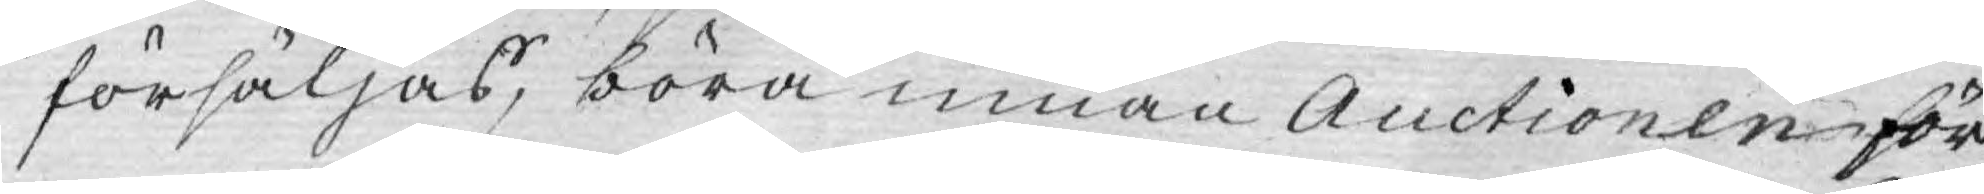försäljas, böra innan Auctionen för
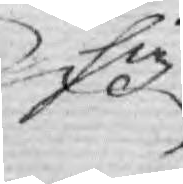sig
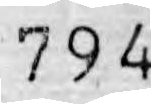794
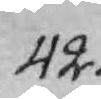42.
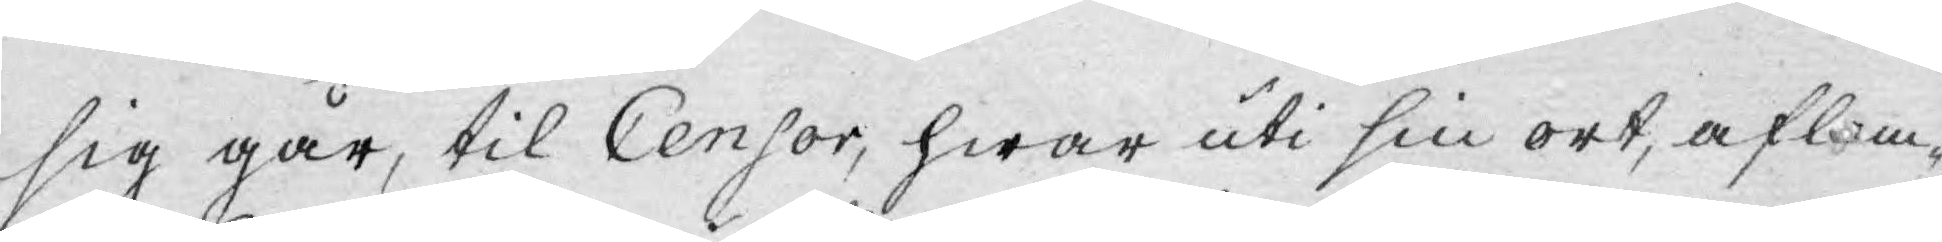sig går, til Censor, hwar uti sin ort, aflem¬
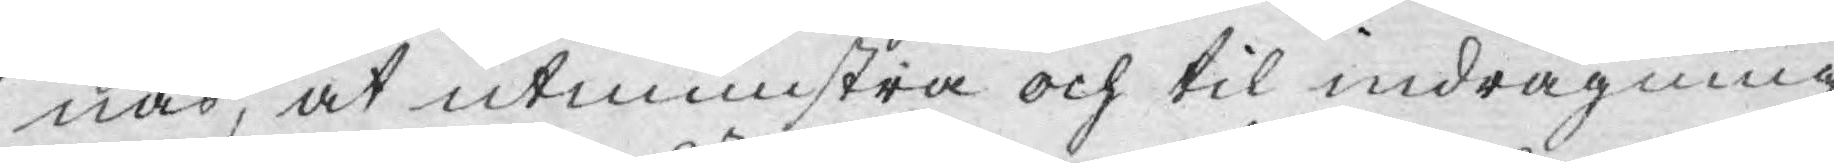nas, at utmunstra och til indragning
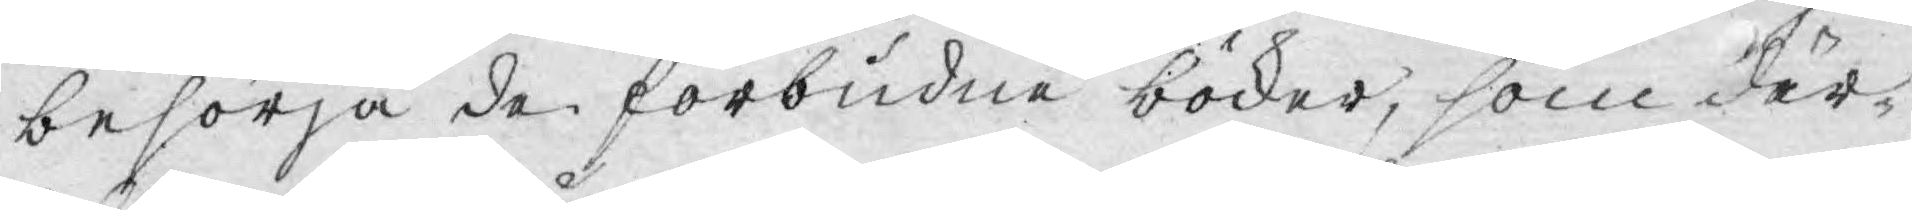besörja de förbudne böcker, som där¬
